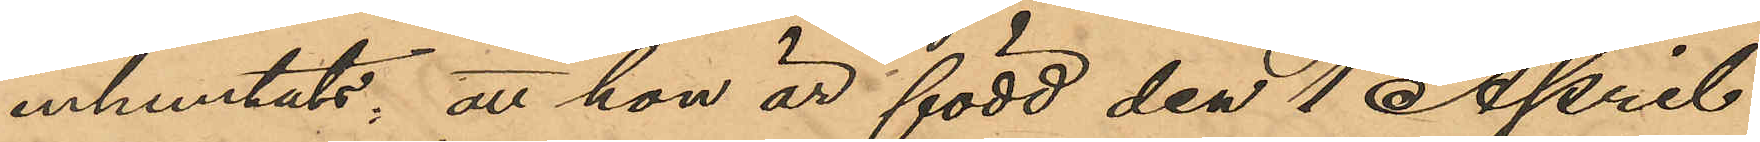inhemtats, att hon är född den 1 April
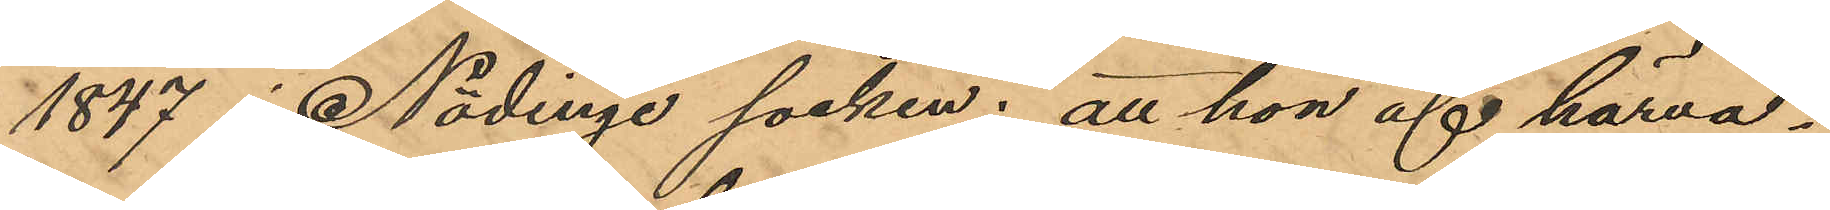1847 i Nödinge socken; att hon af härva¬
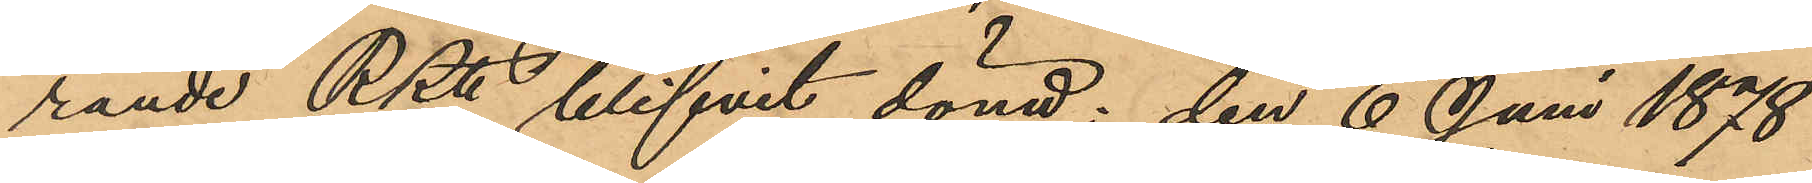rande RRtt blifvit dömd: den 6 Juni 1878
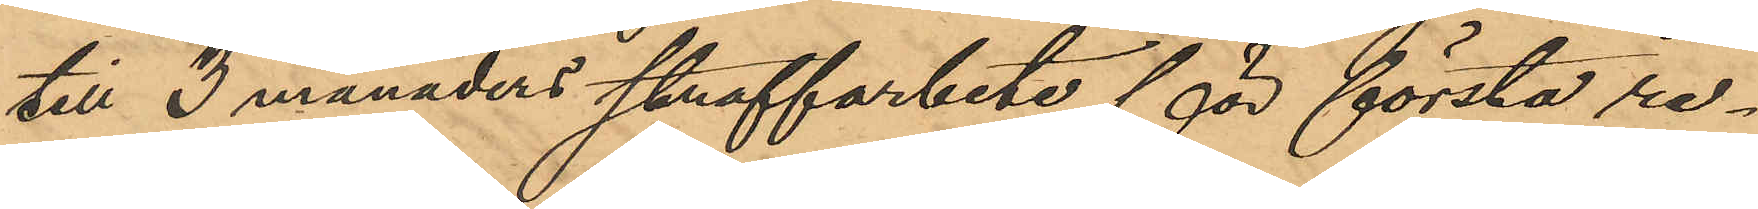till 3 månaders straffarbete för första re¬
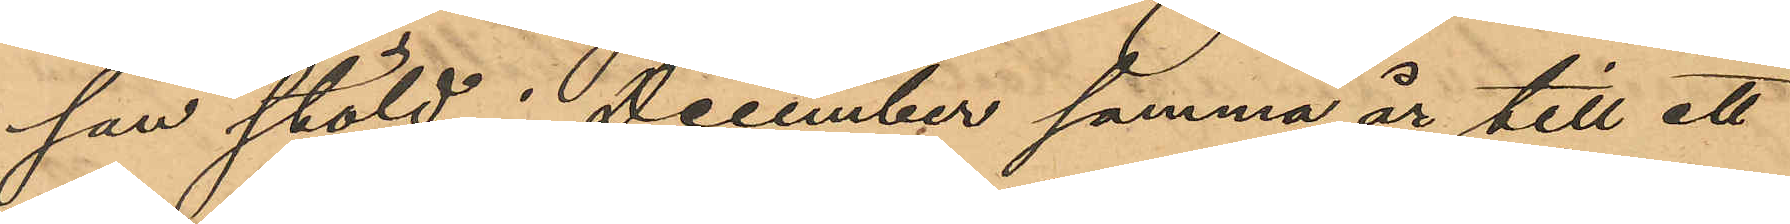san stöld, i December samma år till ett
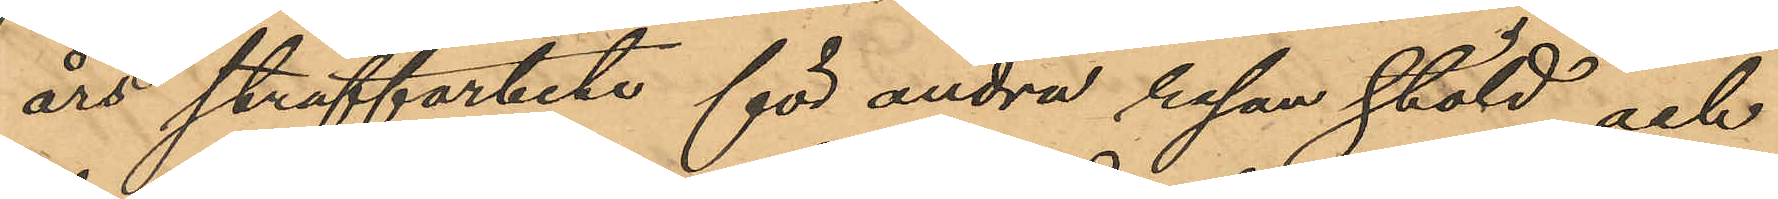års straffarbete för andra resan stöld och
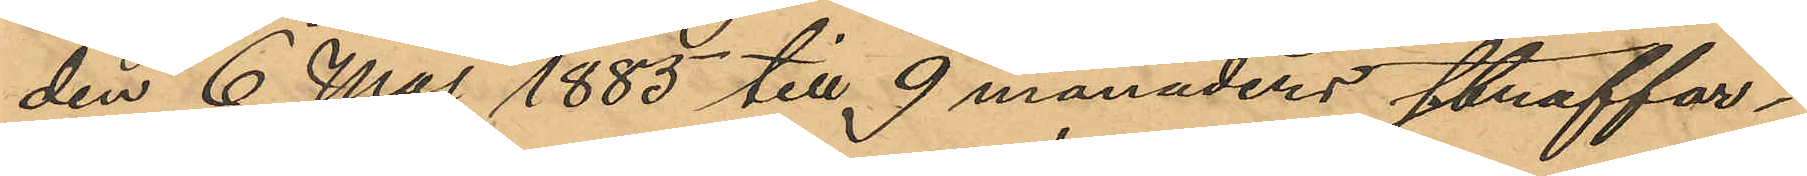den 6 Maj 1885 till 9 månaders straffar¬
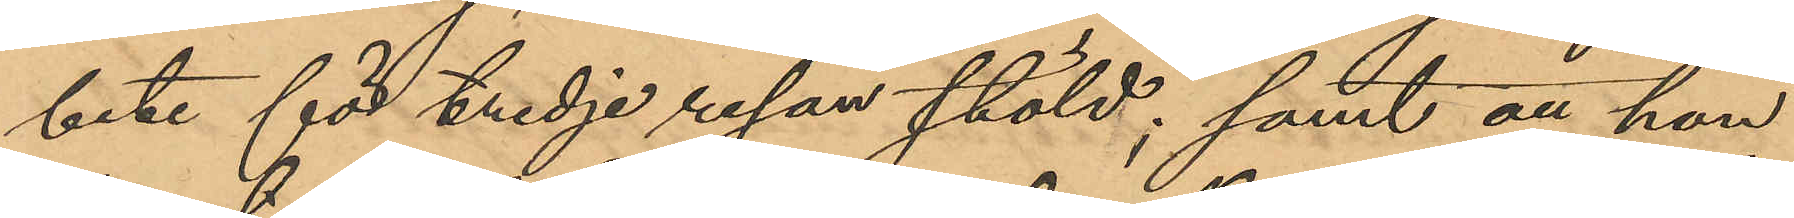bete för tredje resan stöld; samt att hon
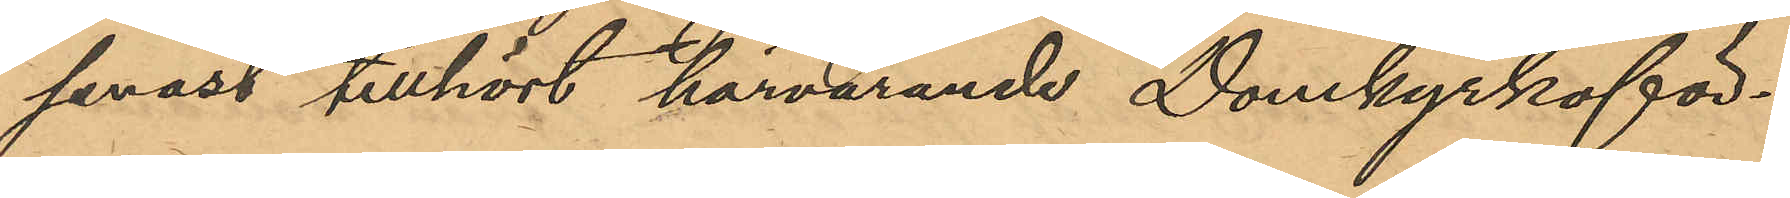senast tillhört härvarande Domkyrkoför¬
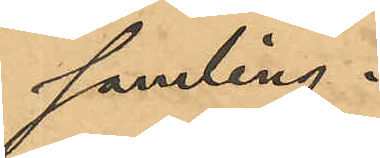samling.
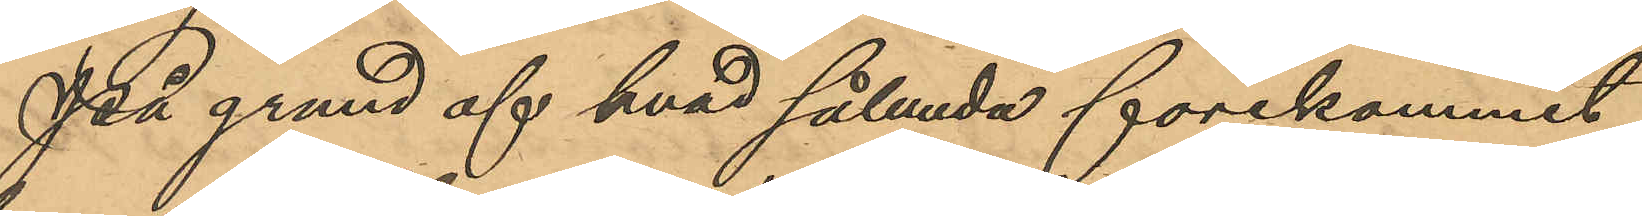På grund af hvad sålunda förekommit
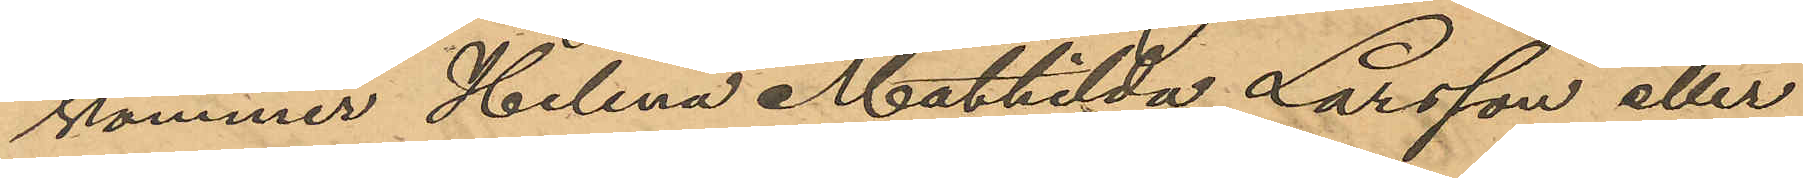kommer Helena Mathilda Larsson eller
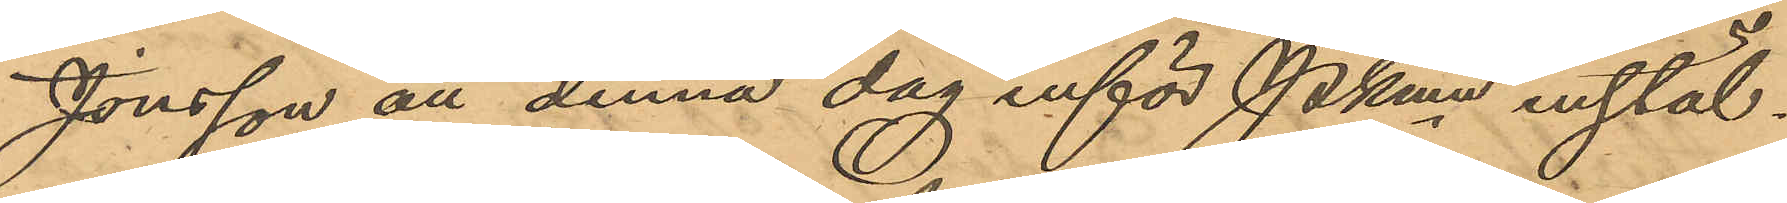Jönsson att denna dag inför Pkmn instäl¬
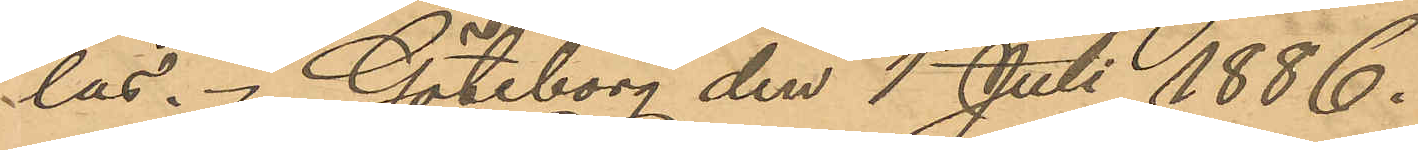las. Göteborg den 1 Juli 1886.
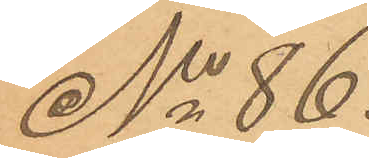No 86.
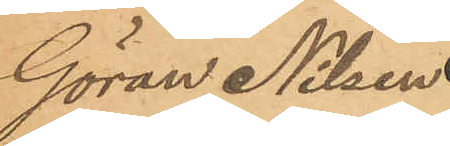Göran Nilsen
